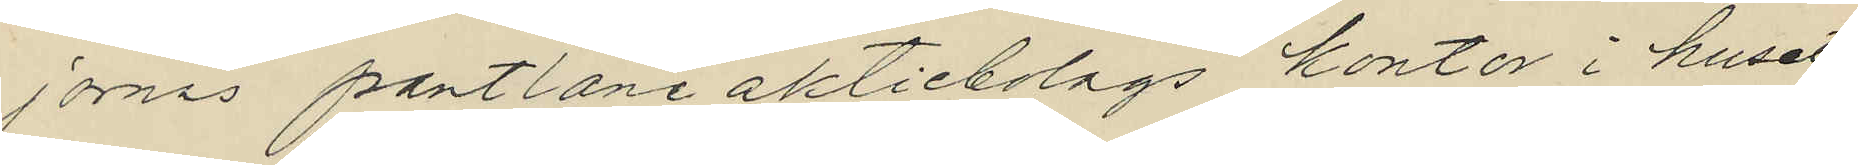jornas pantlåneaktiebolags kontor i huset
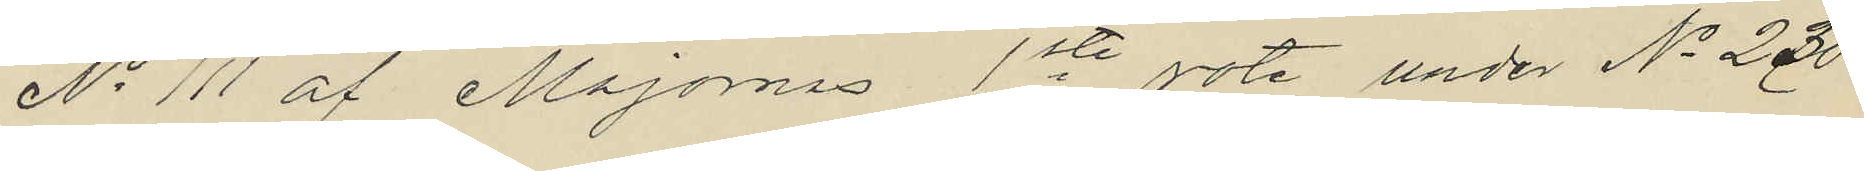No 111 af Majornas 1ste rote, under No 230
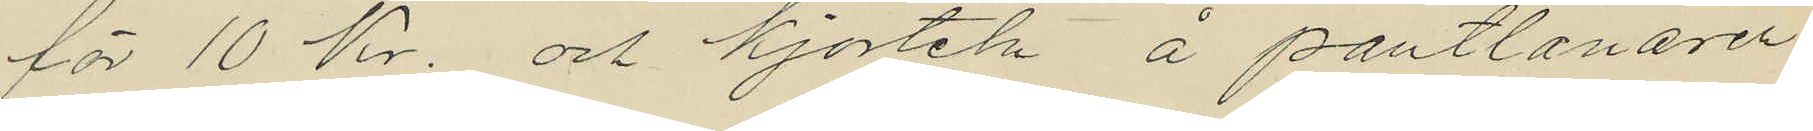för 10 Kr. och kjorteln å pantlånaren
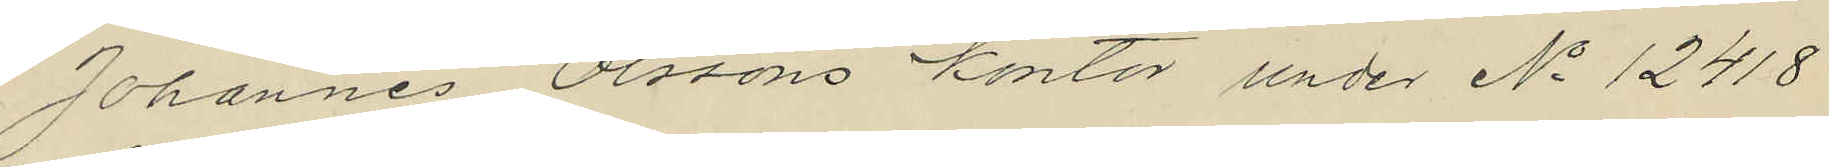Johannes Olssons kontor under No 12418
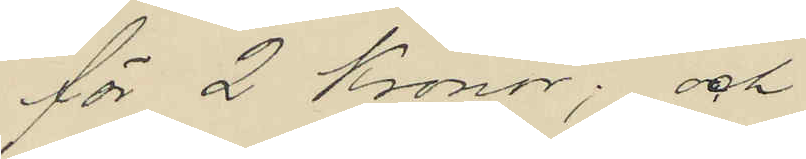för 2 Kronor; och
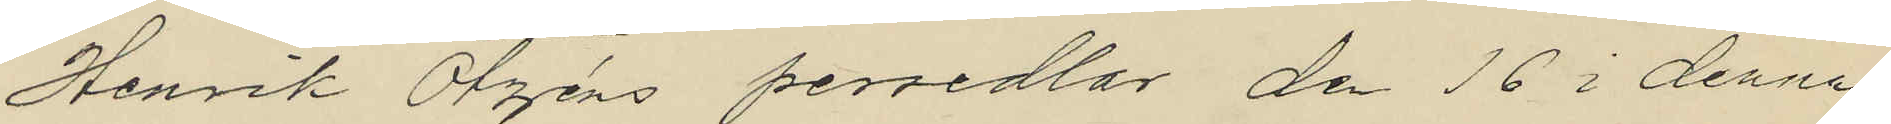Henrik Otzéns persedlar den 16 i denna
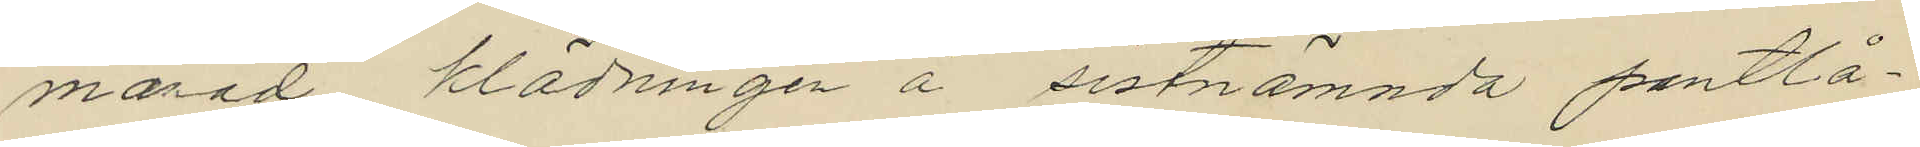mårad klädningen å sistnämnda pantlå¬
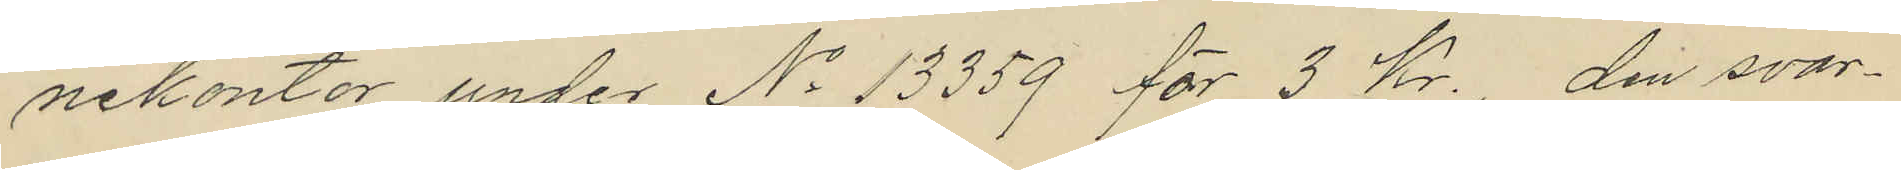nekontor under No 13359 för 3 Kr. den svar¬
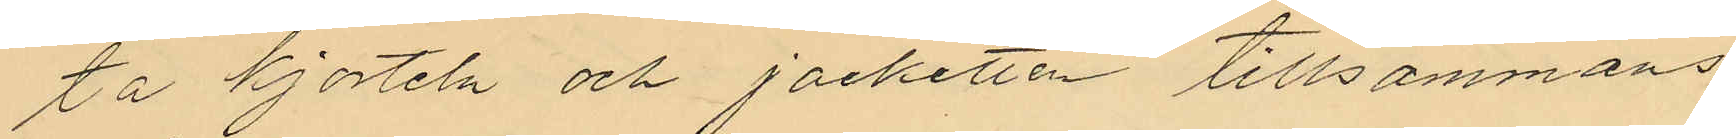ta kjorteln och jacketten tillsammans
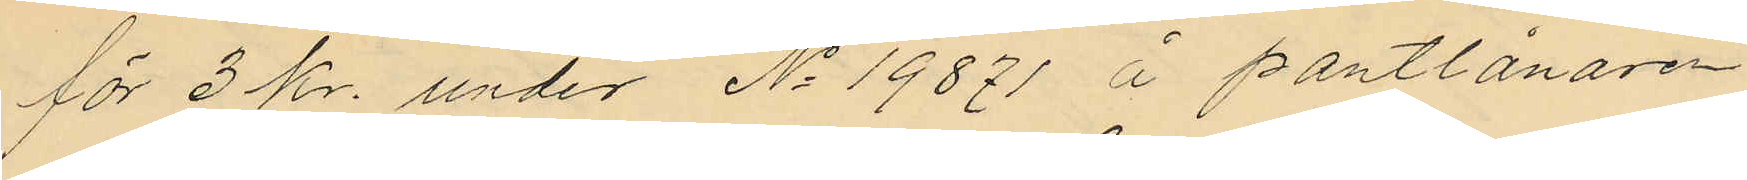för 3 kr. under No 19871 å pantlånaren
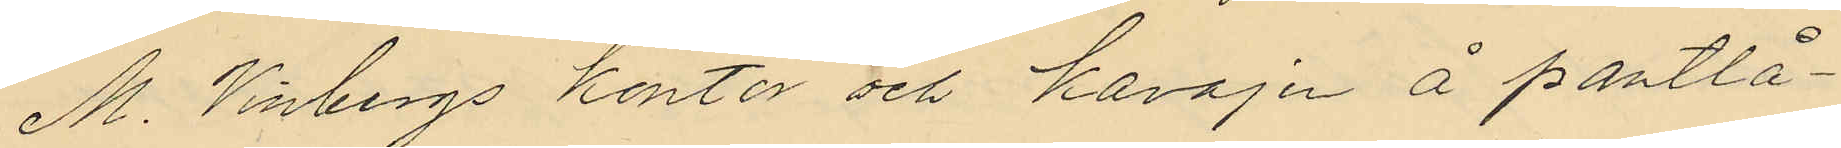M. Vinbergs kontor och kavajen å pantlå¬
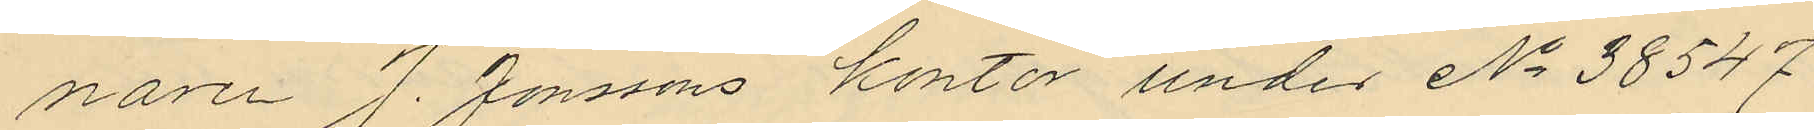naren J. Jonssons kontor under No 38547
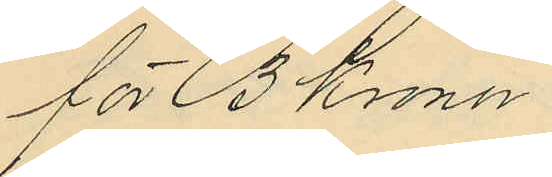för 3 Kronor.
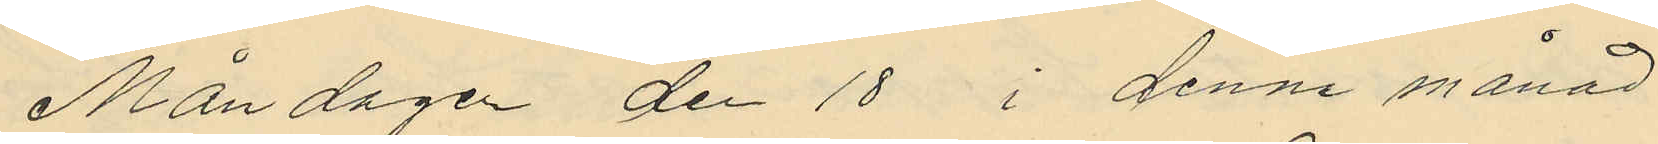Måndagen den 18 i denna månad
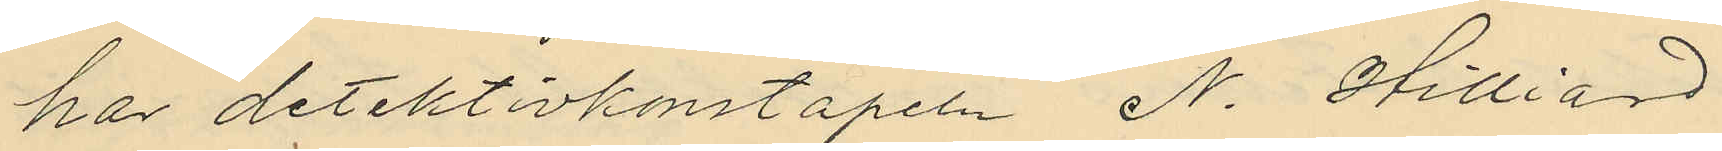har detektivkonstapeln N. Hilliard
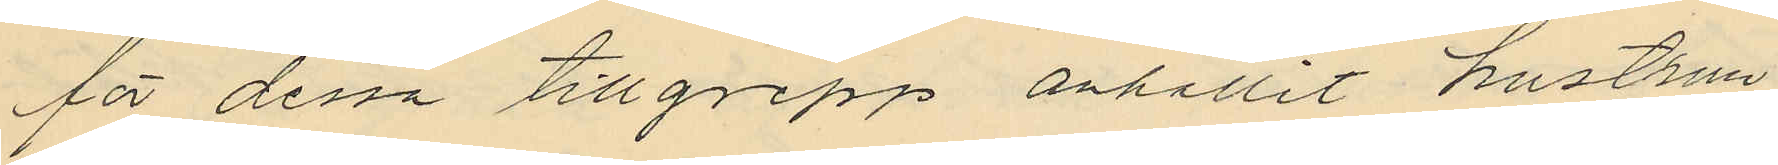för dessa tillgrepp anhållit hustrun
